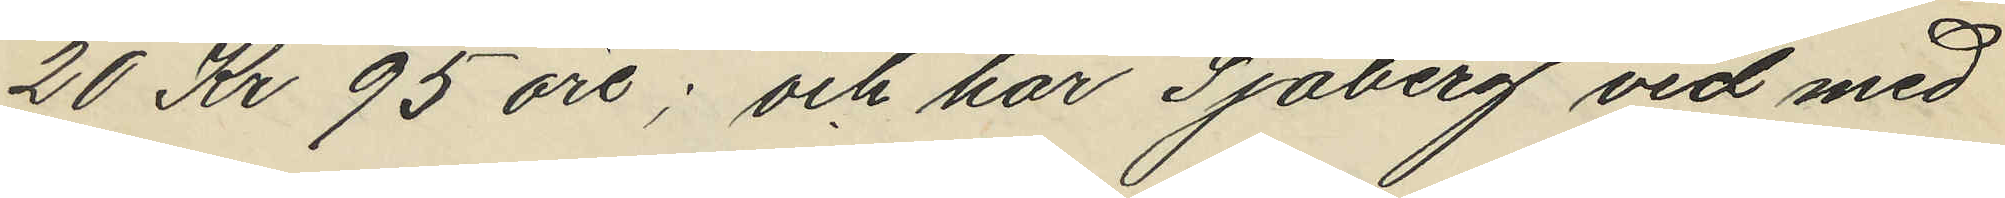20 Kr 95 öre; och har Sjöberg vid med
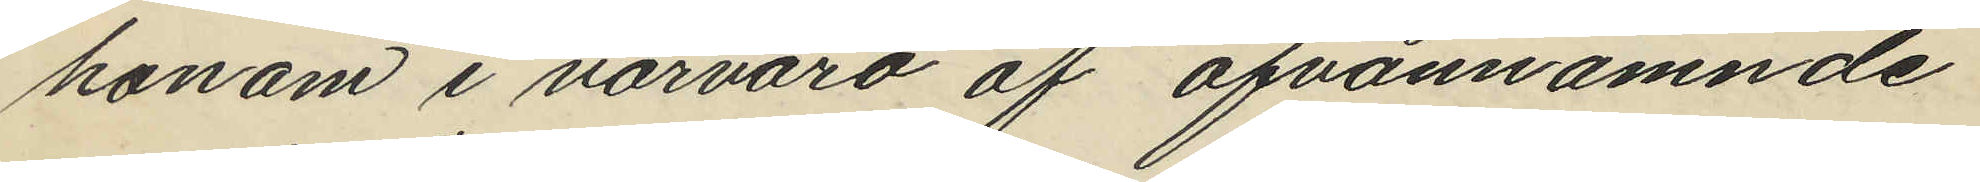honom i närvaro af ofvannämnde
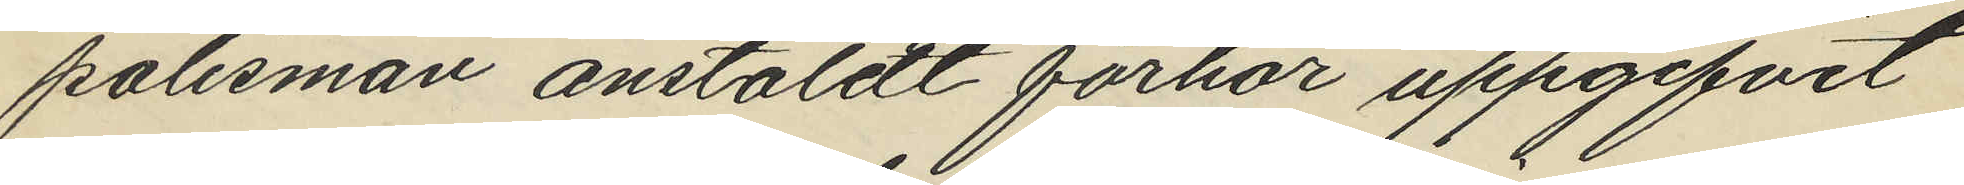polismän anstäldt förhör uppgifvit
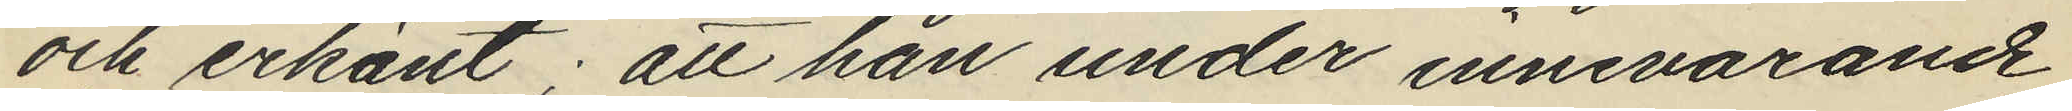och erkänt; att han under innevarande
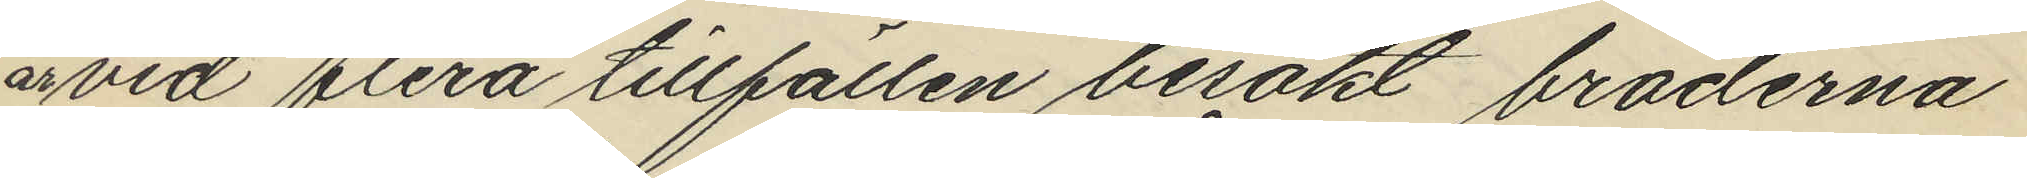år vid flera tillfällen besökt bröderna
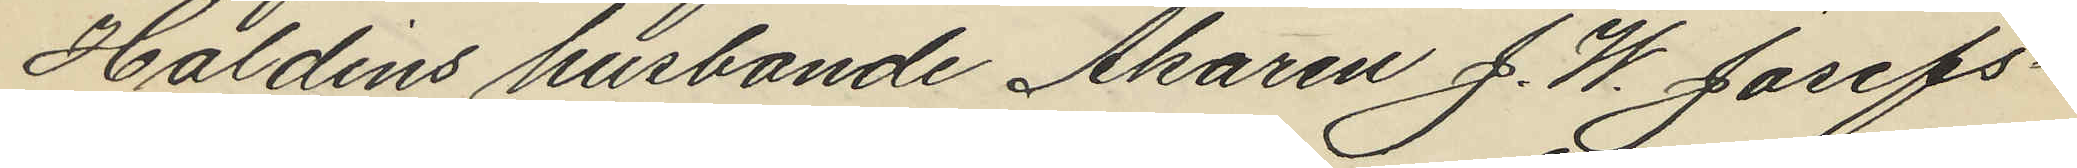Haldins husbonde Åkaren J. W. Josefs¬
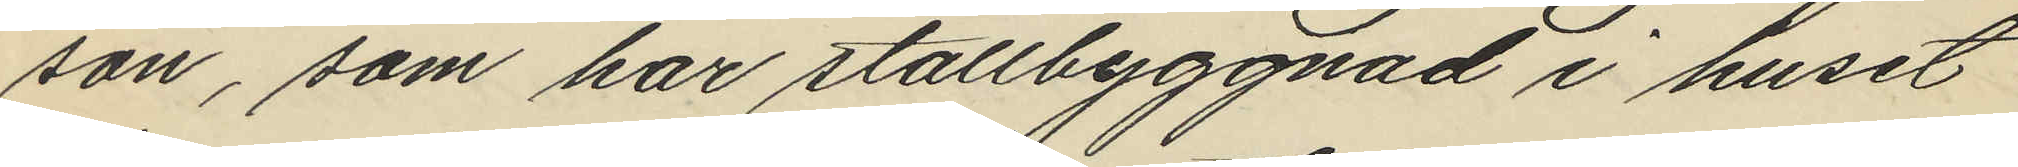son, som har stallbyggnad i huset
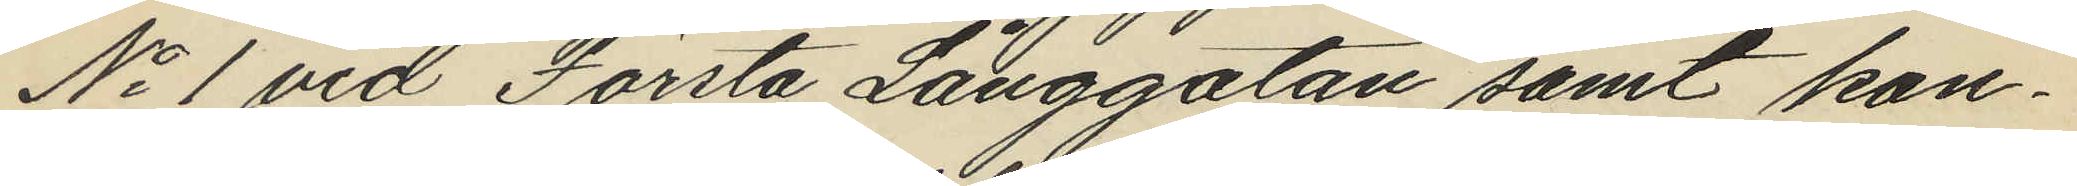No 1 vid Första Långgatan samt kon¬
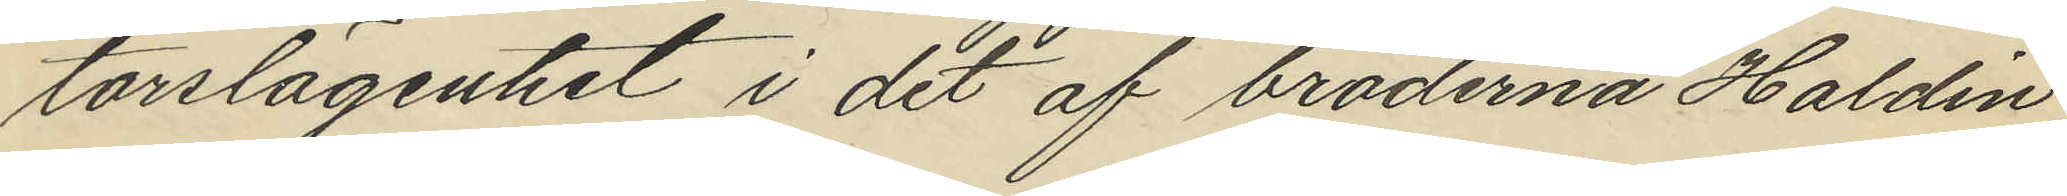torslägenhet i det af bröderna Haldin
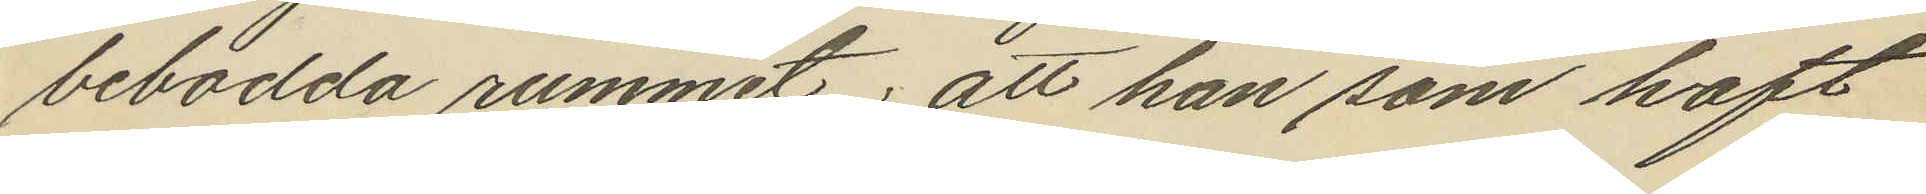bebodda rummet; att han som haft
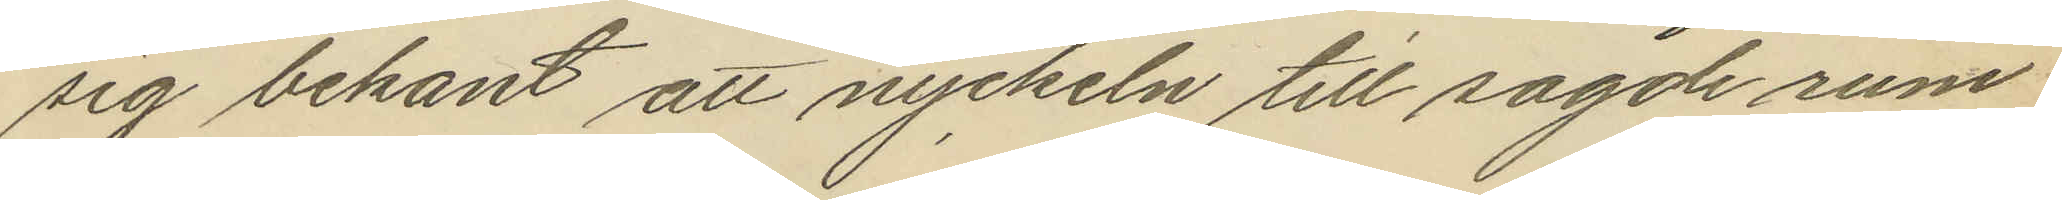sig bekant att nyckeln till sagde rum
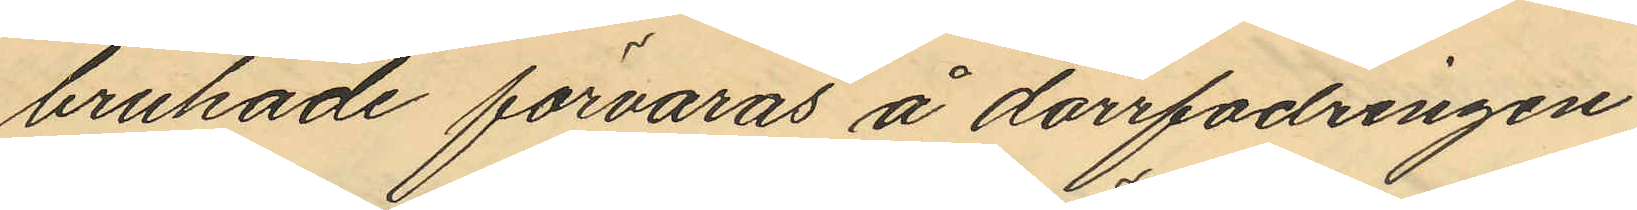brukade förvaras å dörrfodringen
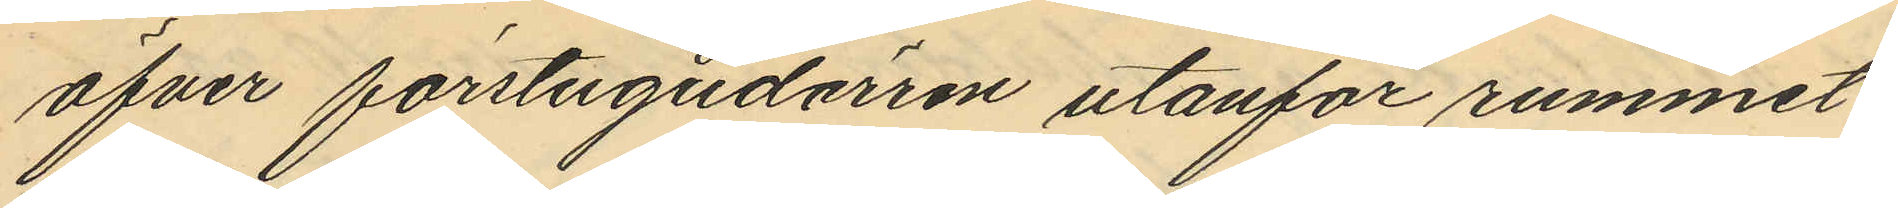öfver förstugudörren utanför rummet
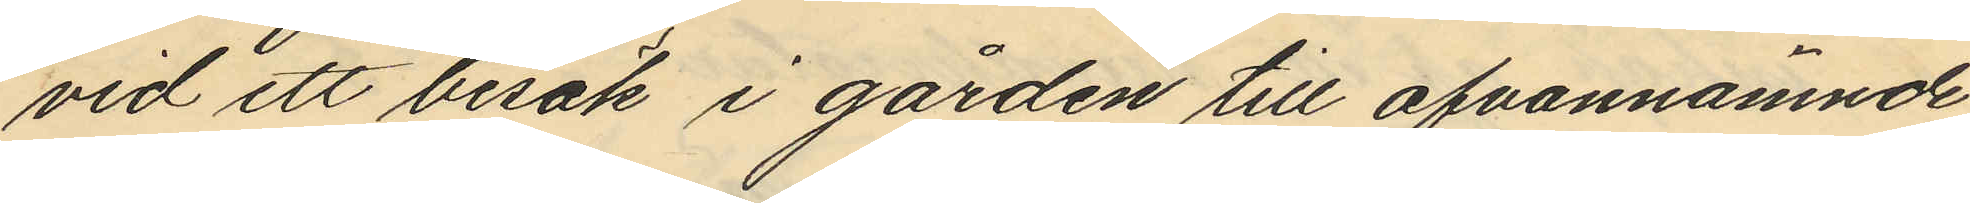vid ett besök i gården till ofvannämnde
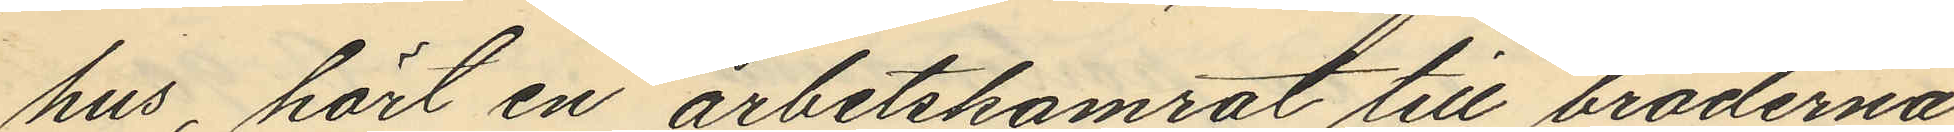hus, hört en arbetskamrat till bröderna
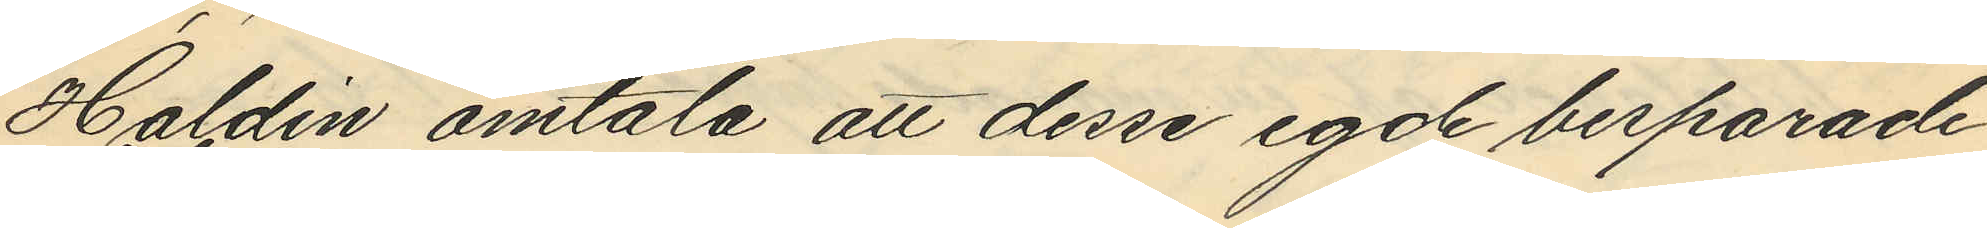Haldin omtala att desse egde besparade
